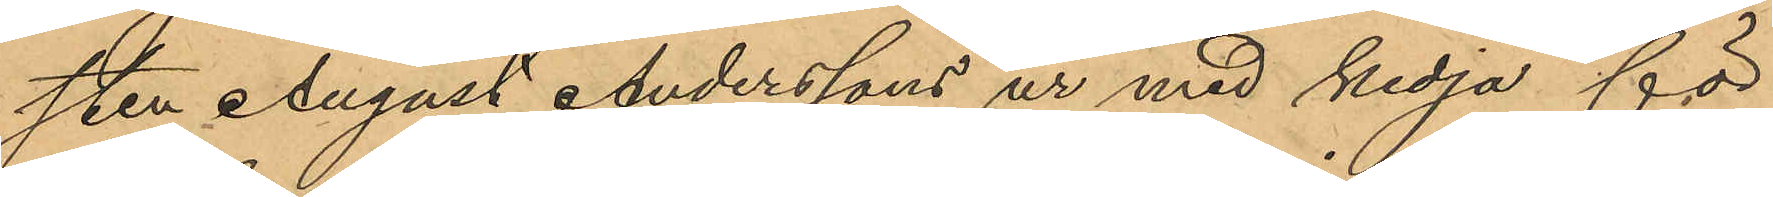sten August Anderssons ur med kedja för
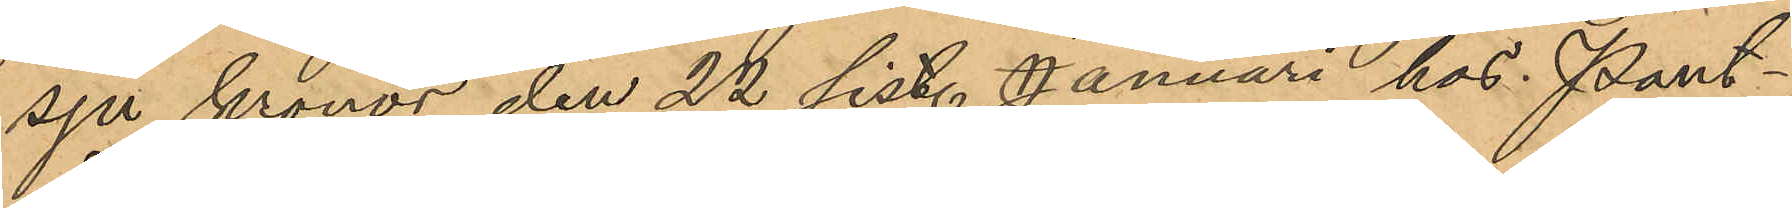sju kronor den 22 sist. Januari hos Pant¬
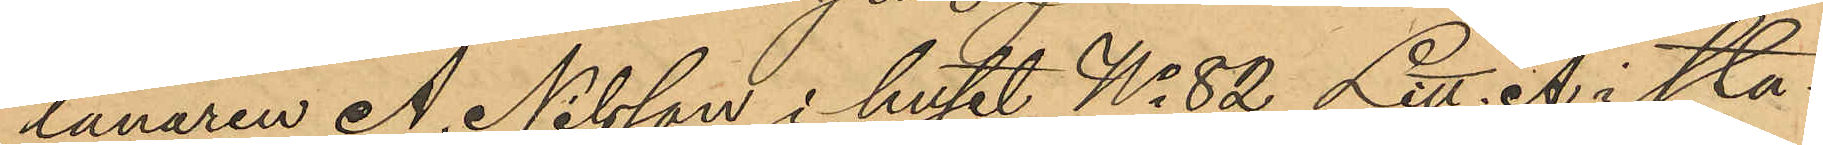lånaren A. Nilsson i huset No 82 Litt. A i sta¬
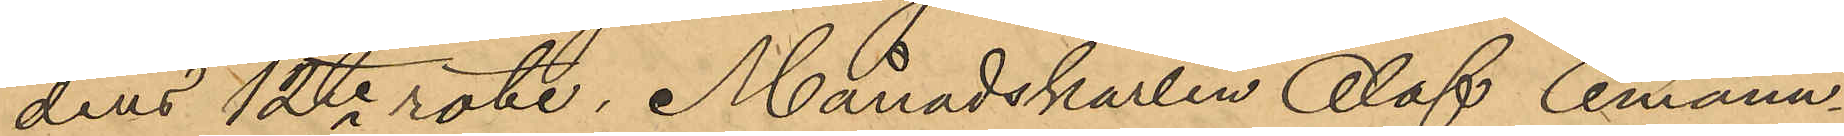dens 12te rote, Månadskarlen Olof Emanu¬
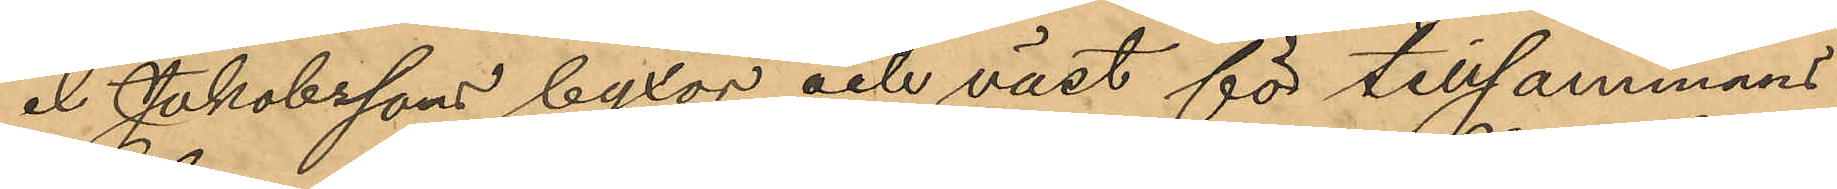el Jakobssons byxor och väst för tillsammans
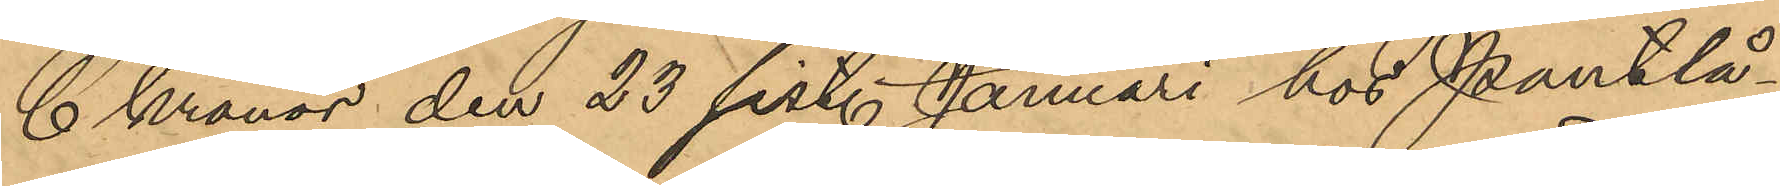6 Kronor den 23 sist. Januari hos Pantlå¬
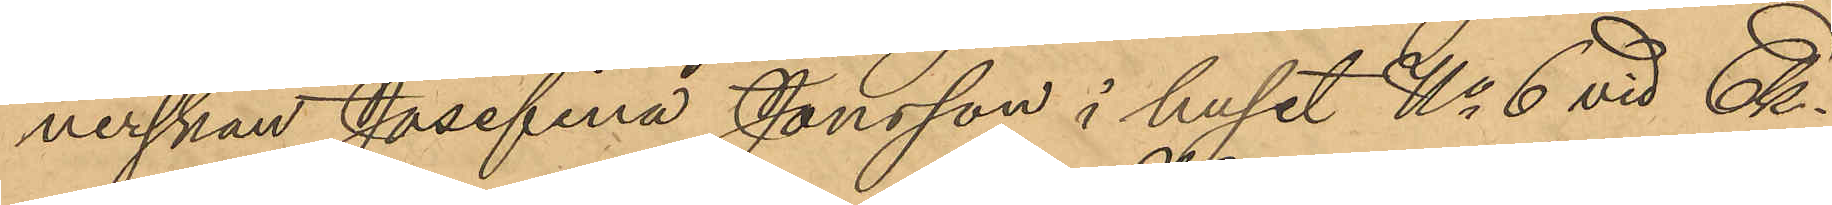nerskan Josefina Jonsson i huset No 6 vid Ek¬
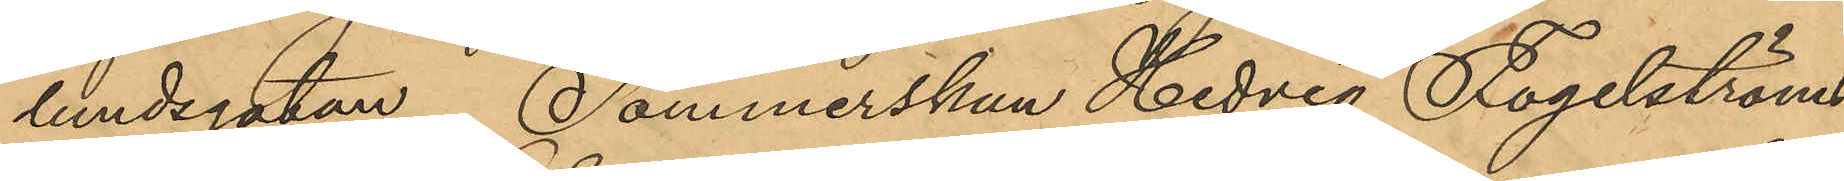lundsgatan, Sömmerskan Hedvig Fogelström
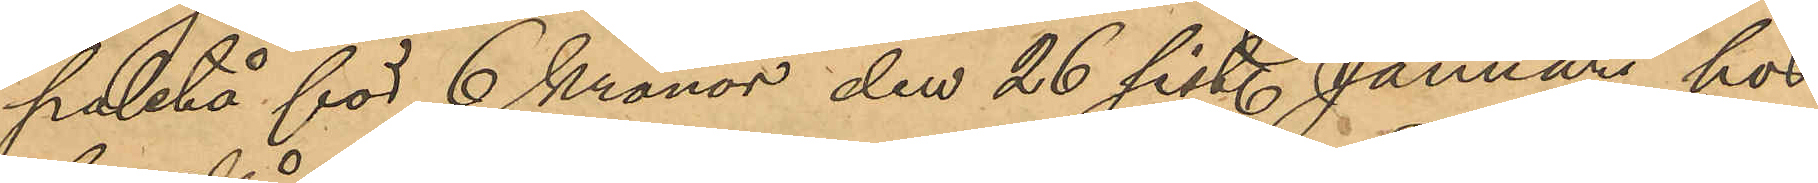paletå för 6 Kronor den 26 sist. Januari hos
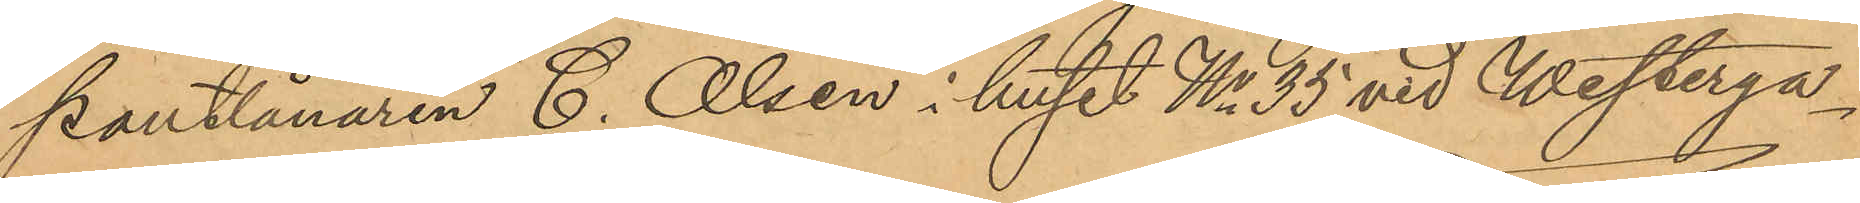pantlånaren C. Olsen i huset No 35 vid Westerga¬
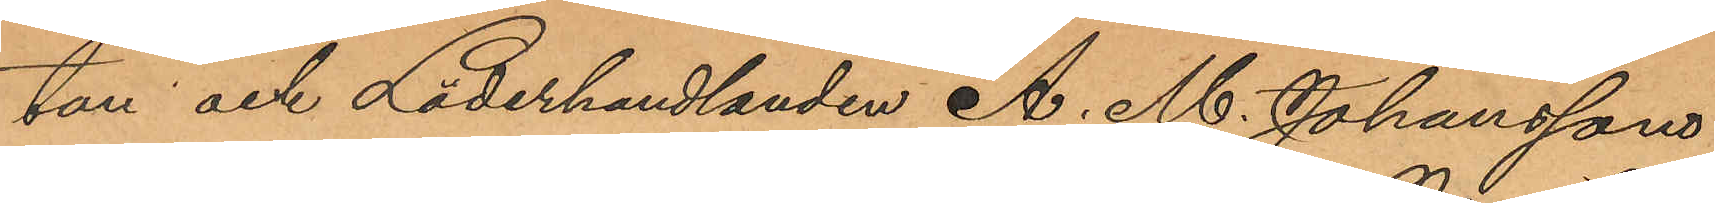tan och Läderhandlanden A. M. Johanssons
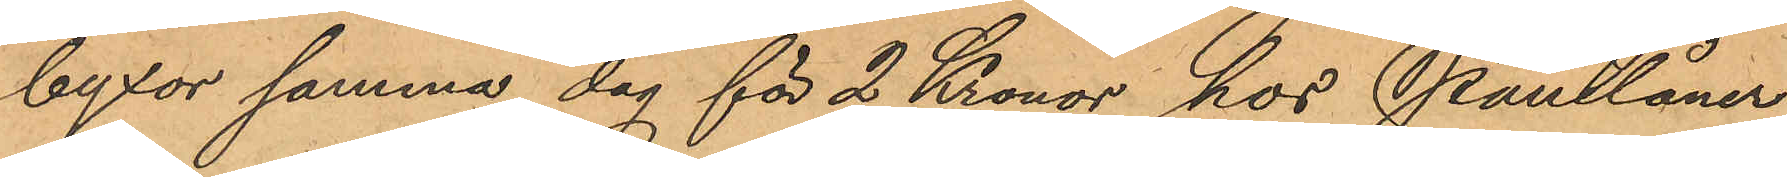byxor samma dag för 2 Kronor hos Pantlåner¬
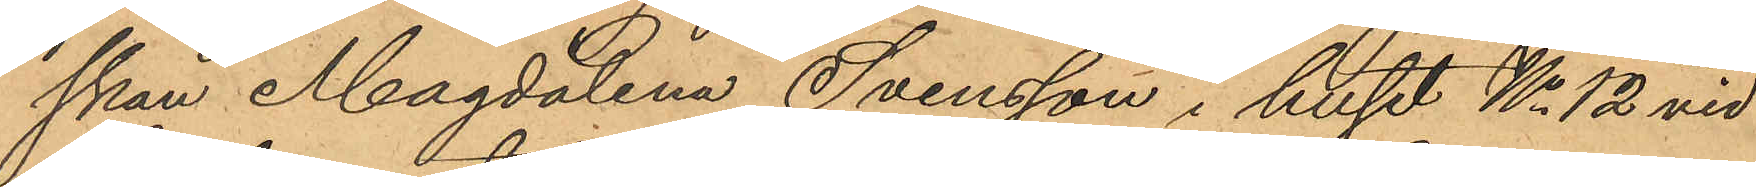skan Magdalena Svensson i huset No 12 vid
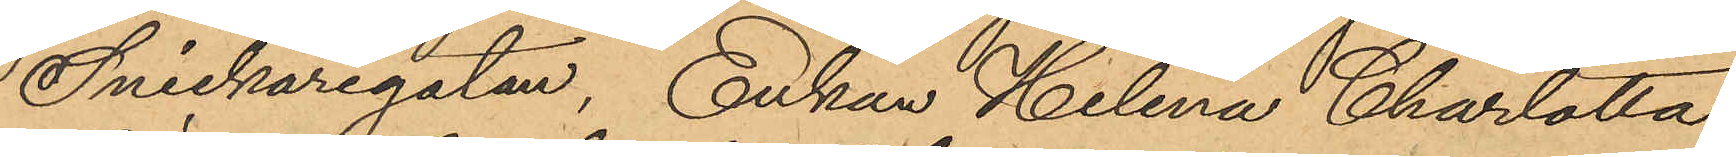Snickaregatan, Enkan Helena Charlotta
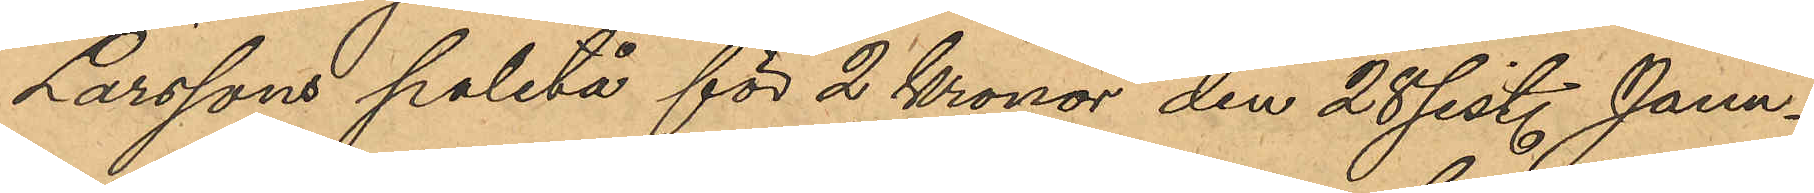Larssons paletå för 2 Kronor den 28 sist. Janu¬
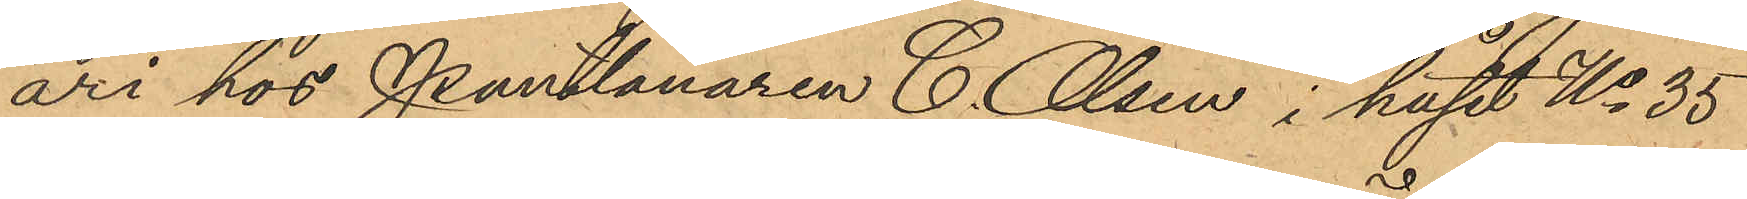ari hos Pantlånaren C. Olsen i huset No 35
